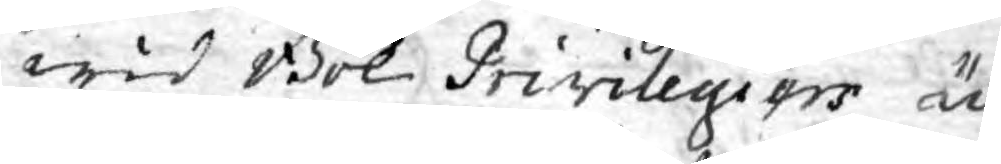wid Bok Privilegiers ut¬
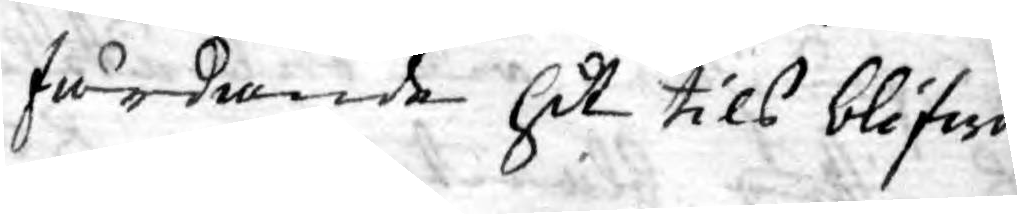färdande hit tils blifwit
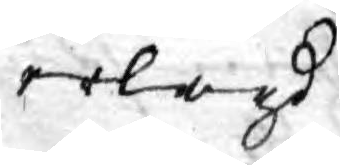erlagd.
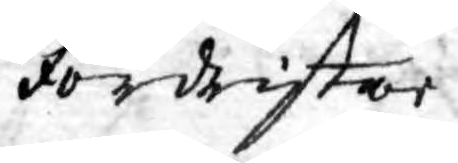Fördristar
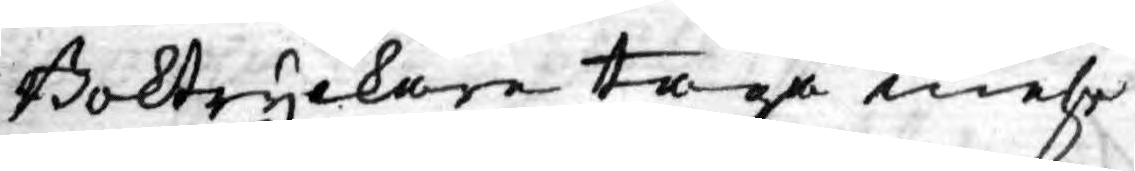Boktryckare taga mehr
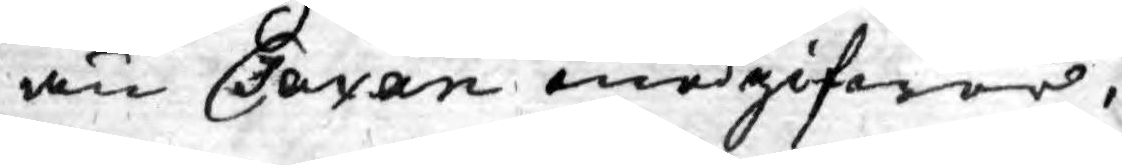än Taxan medgifwer,
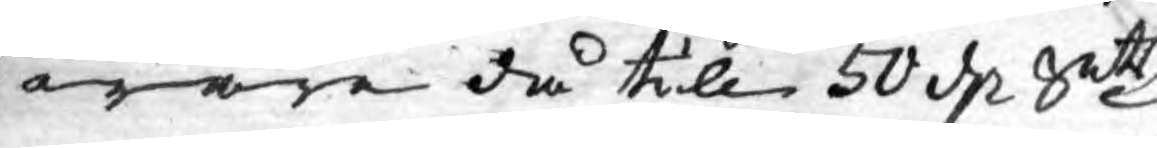ware då till 50 d. Smts
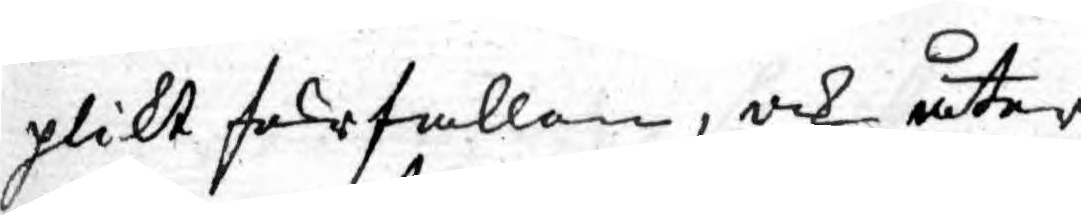plikt förfallen, och åter¬
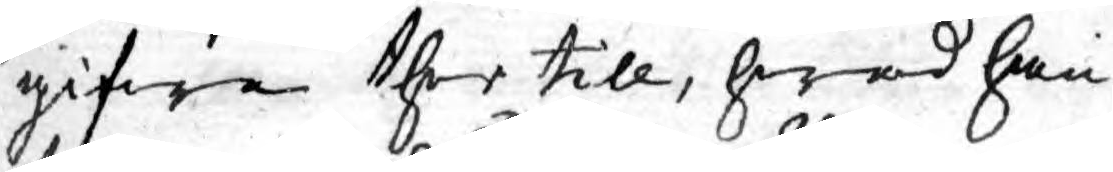gifwa ther till, hwad han
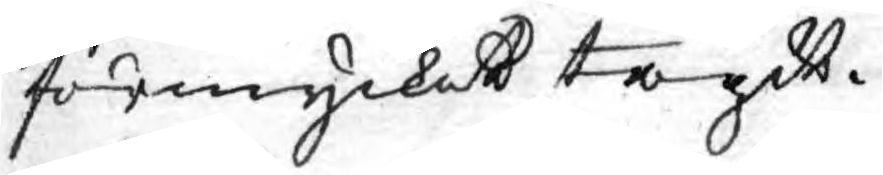förmycket tagit.
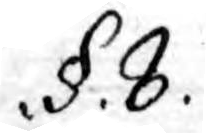.§. 8.
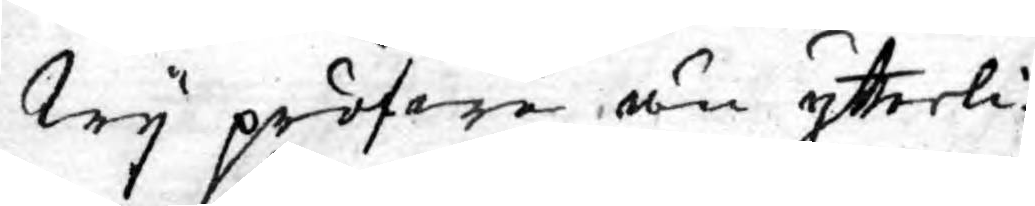Wy pröfwa än ytterli¬
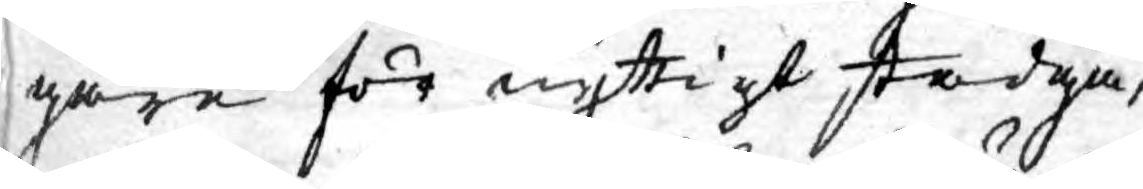gare för nyttigt stadga,
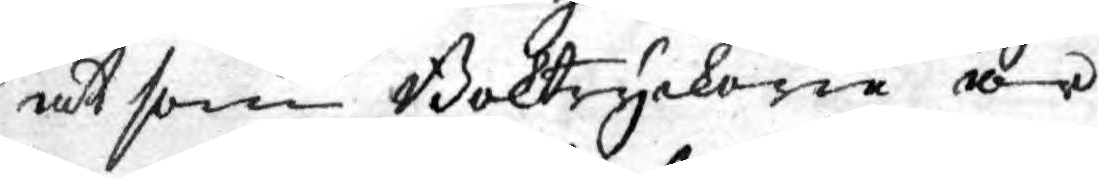at som Boktryckerå är
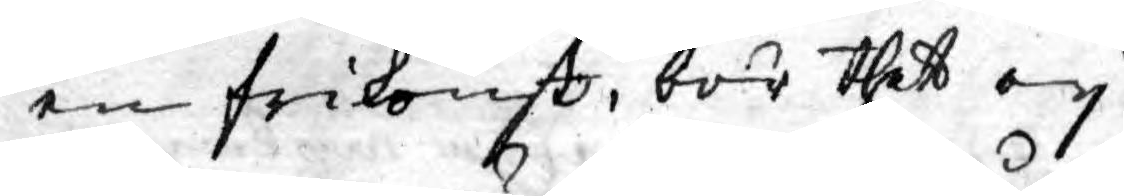en frikonst, bör thet ey
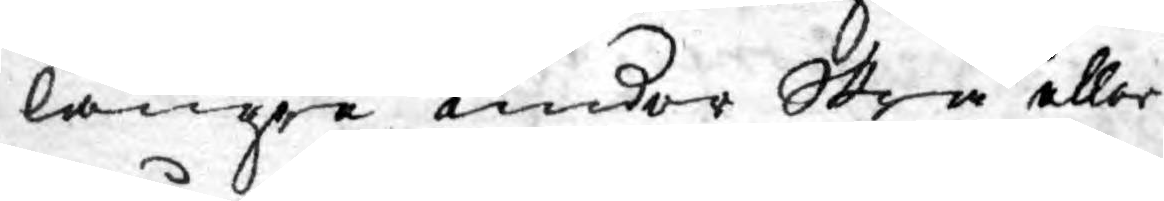längre under Skrå eller
